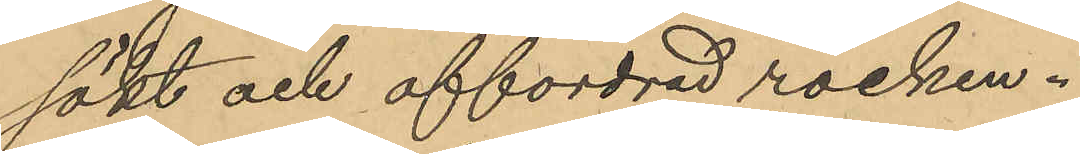sökt och affordrad rocken.
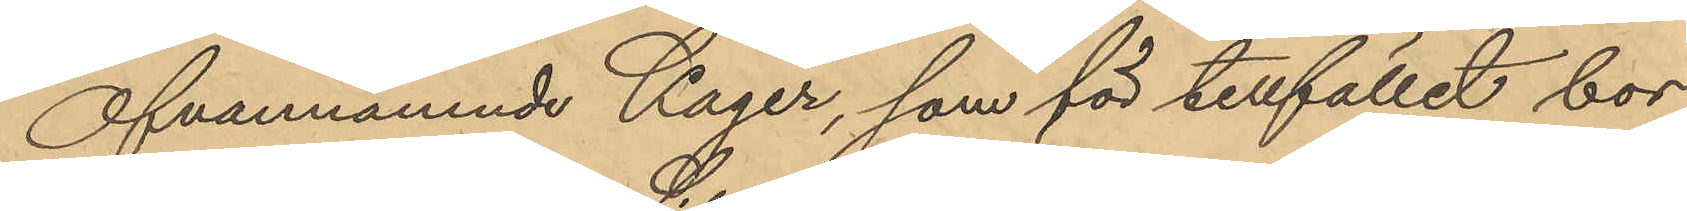Ofvannämnde Kager, som för tillfället bor
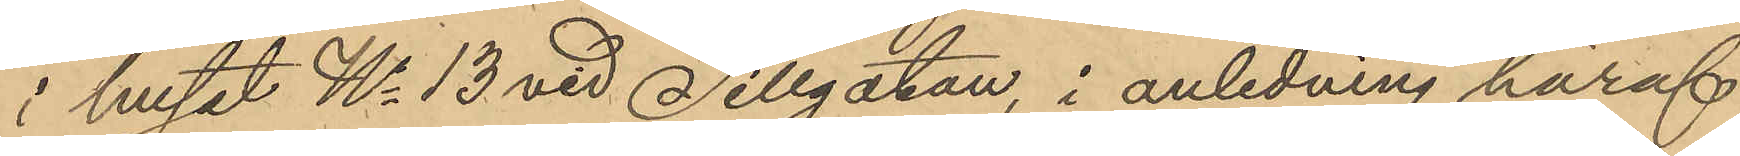i huset No 13 vid Sillgatan, i anledning häraf
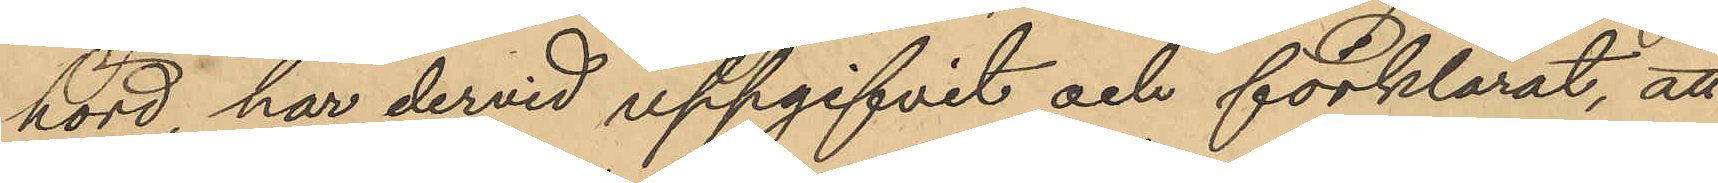hörd, har dervid uppgifvit och förklarat, att
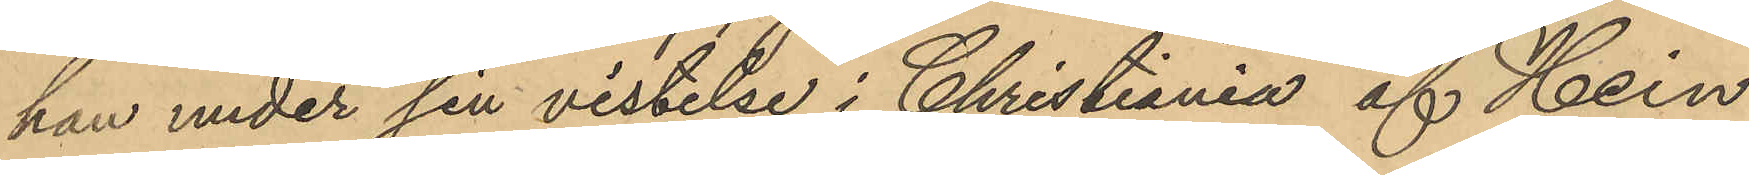han under sin vistelse i Christiania af Hein
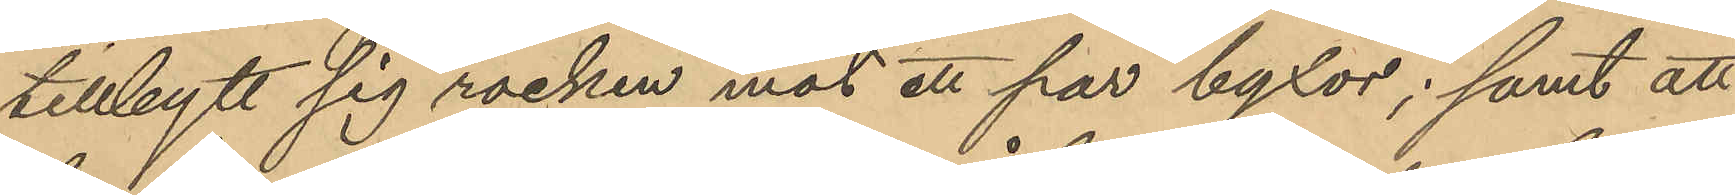tillbytt sig rocken mot ett par byxor; samt att
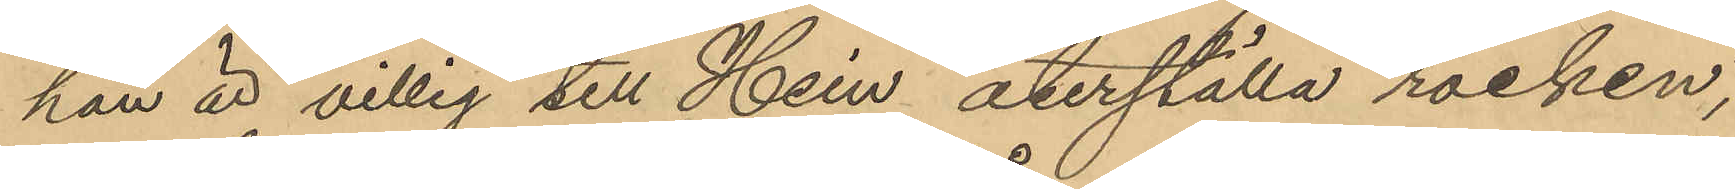han är villig till Hein återställa rocken,
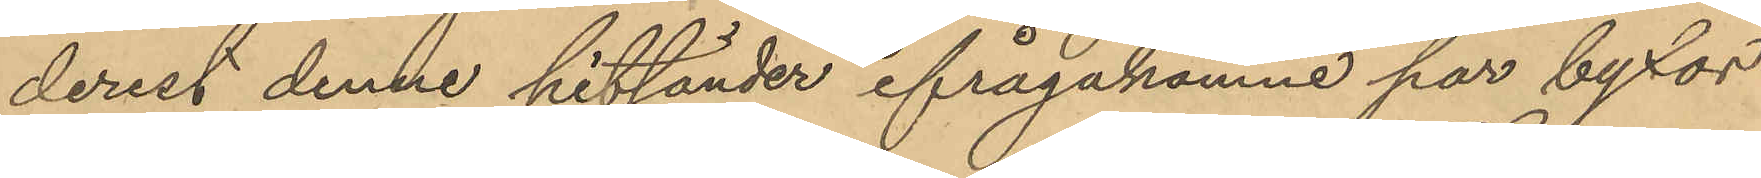derest denne hitsänder ifrågakomne par byxor
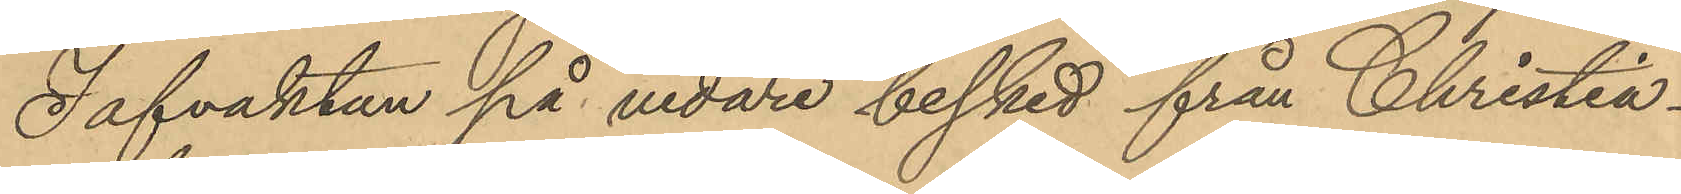I afvaktan på vidare besked från Christia¬
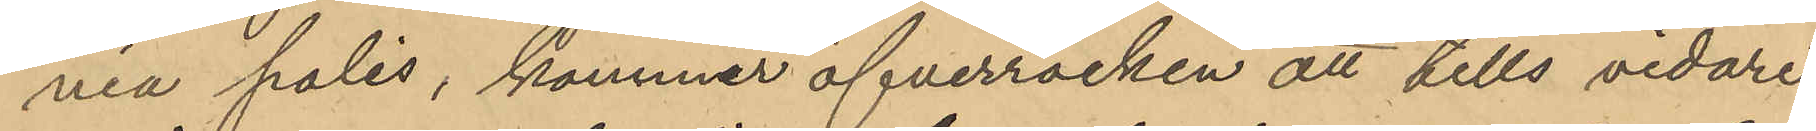nia polis, kommer öfverrocken att tills vidare
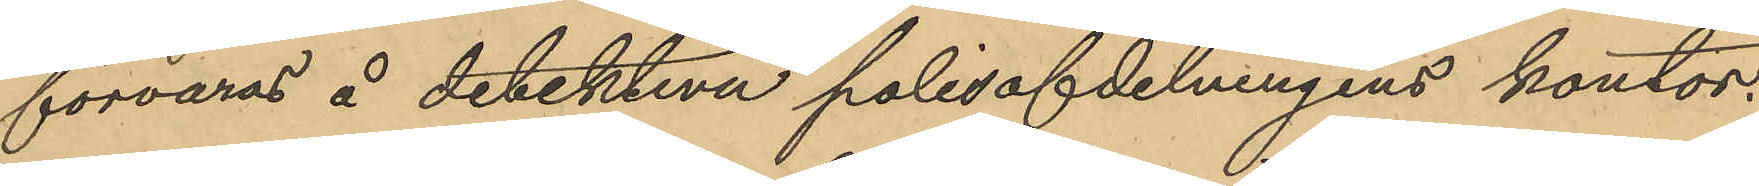förvaras å detektiva polisafdelningens kontor.
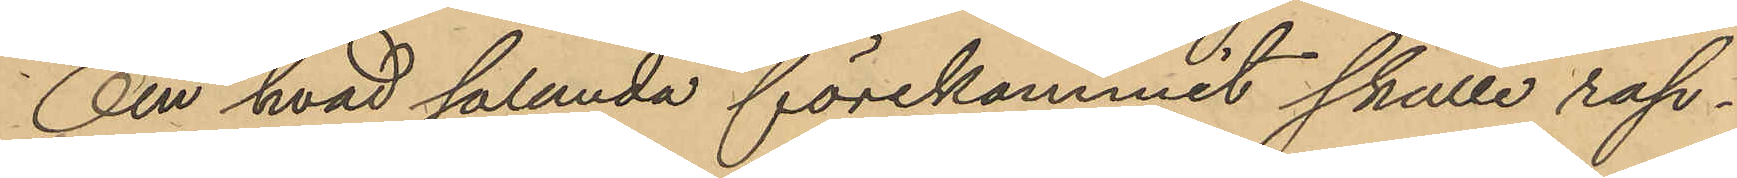Om hvad sålunda förekommit skulle rap¬
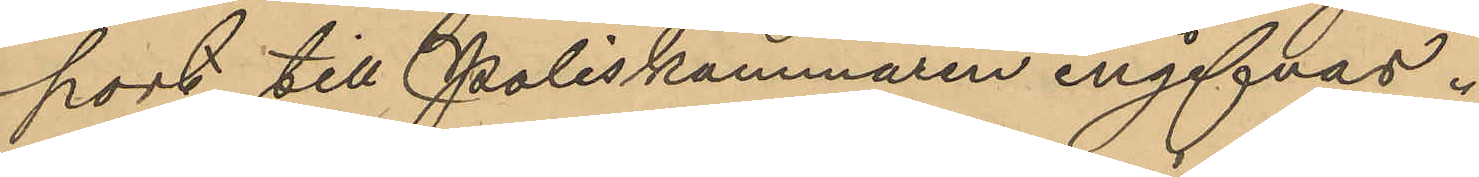port till Poliskammaren ingifvas.
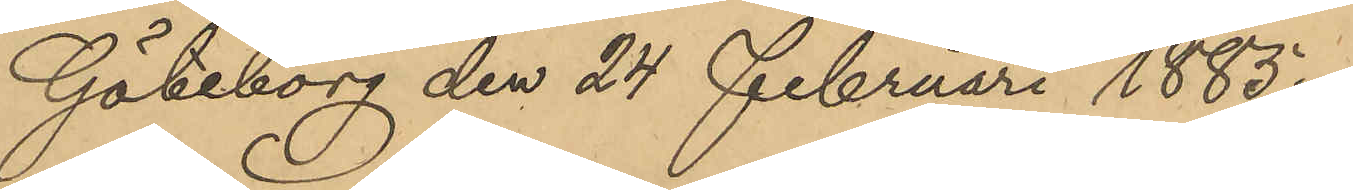Göteborg den 24 Februari 1885.
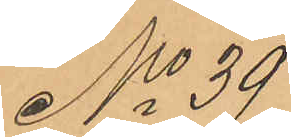No 39
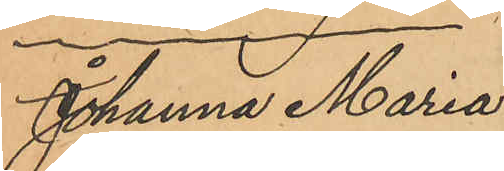Johanna Maria
